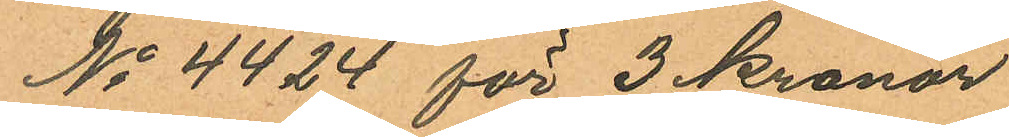No 4424 för 3 kronor.
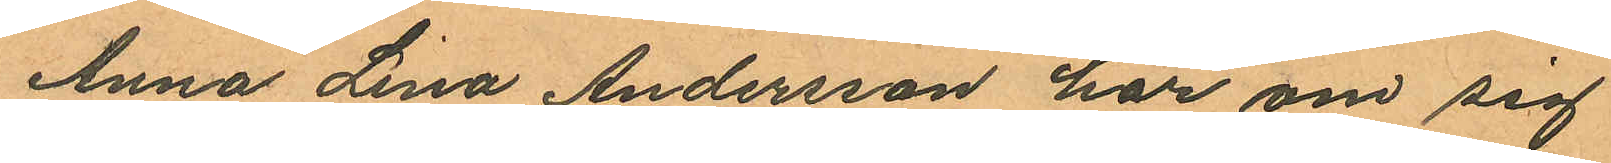Anna Lina Andersson har om sig
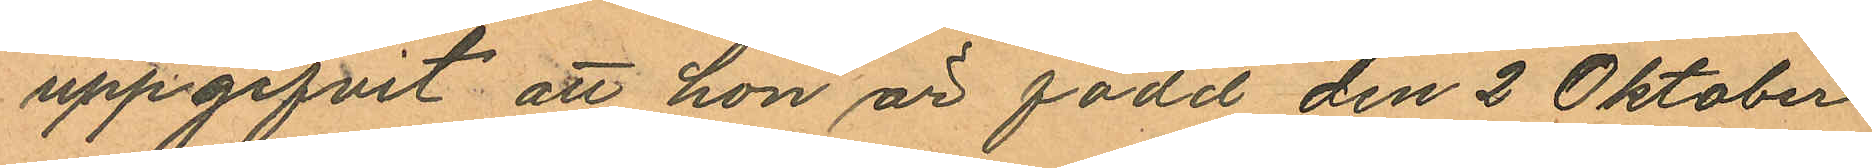uppgifvit att hon är född den 2 Oktober
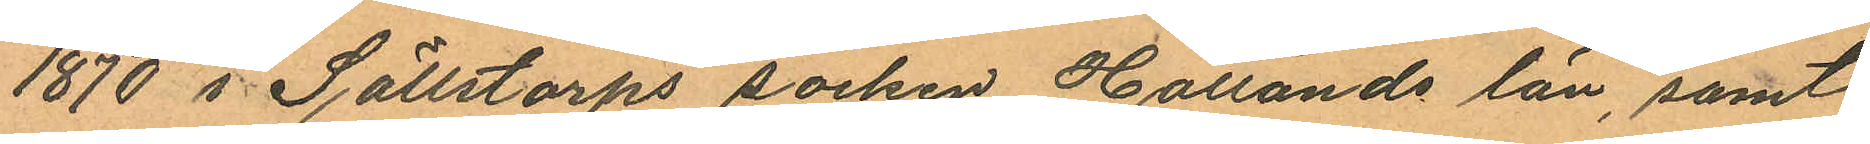1870 i Sällstorps socken Hallands län, samt
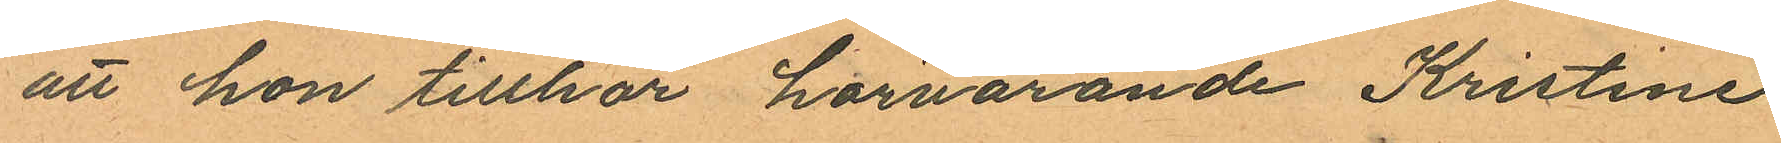att hon tillhör härvarande Kristine
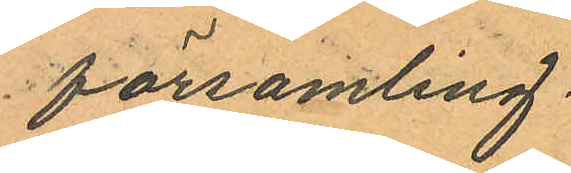församling.
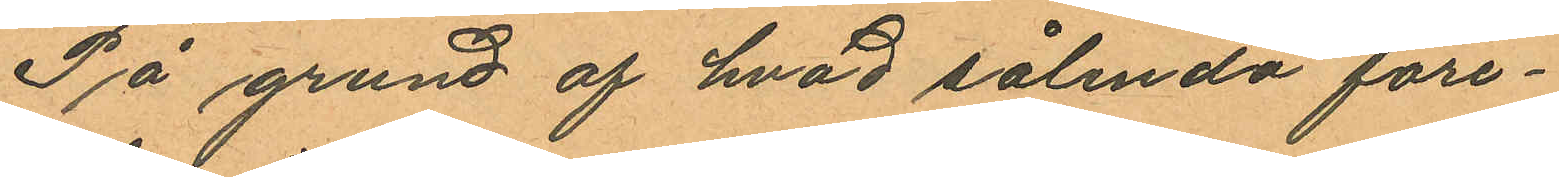På grund af hvad sålunda före¬
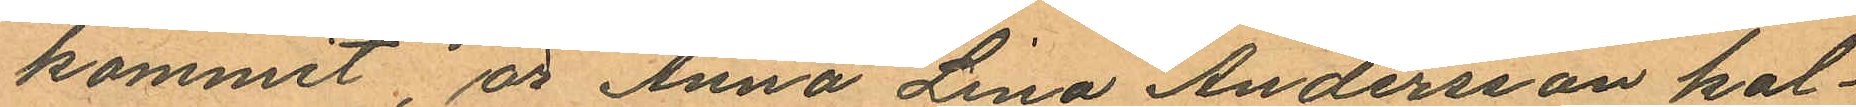kommit, är Anna Lina Andersson kal¬
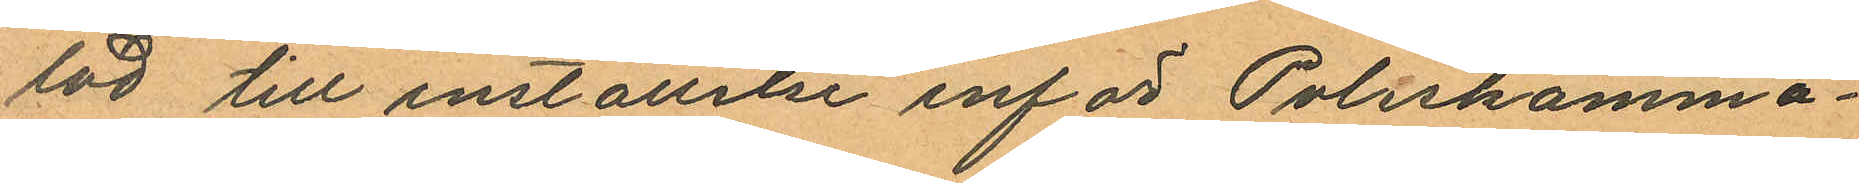lad till inställelse inför Poliskamma¬
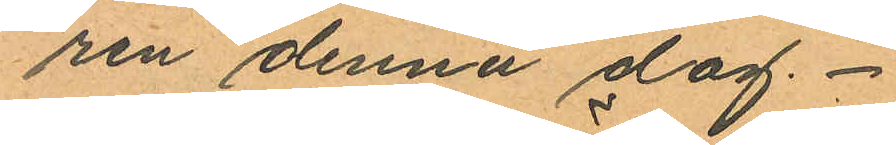ren denna dag.
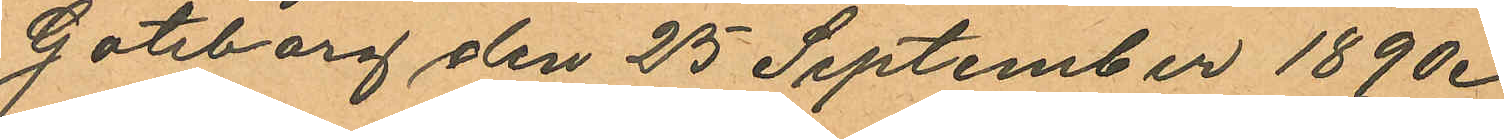Göteborg den 25 September 1890.
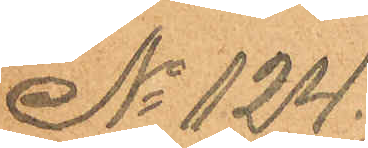No 124.
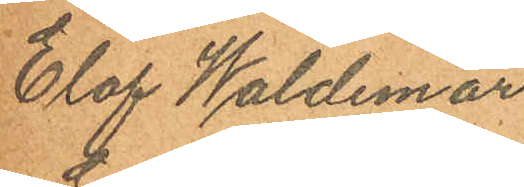Elof Waldemar
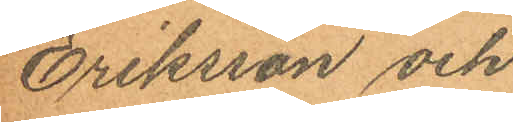Eriksson och
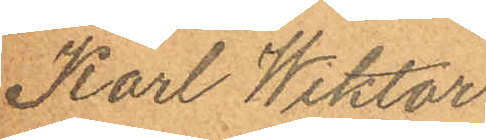Karl Wiktor
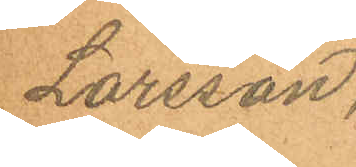Larsson.
